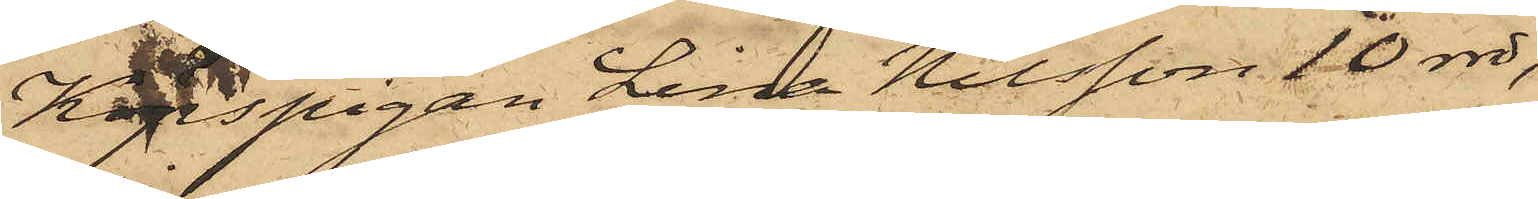Köpspigan Lina Nilsson 10 rdr,
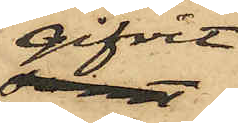gifvit
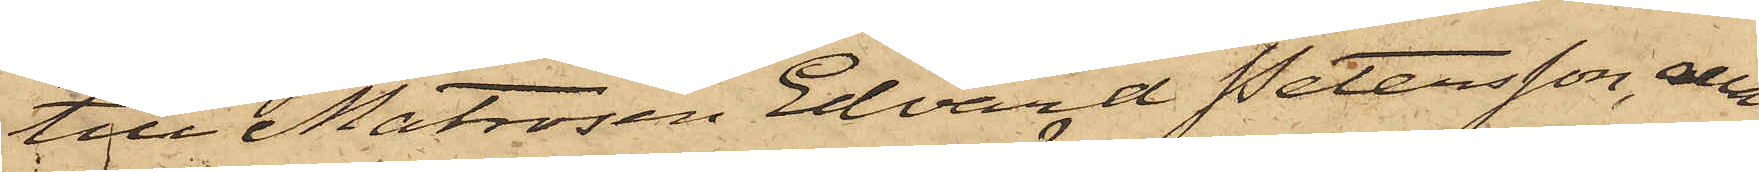till Matrosen Edvard Petersson, alla
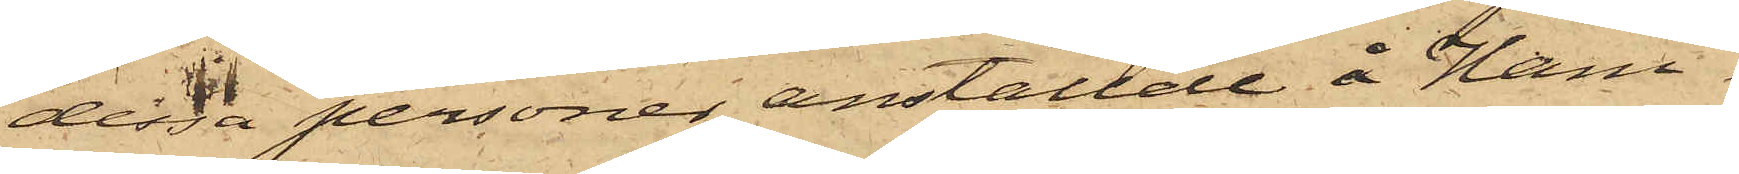dessa personer anställde å Ham¬
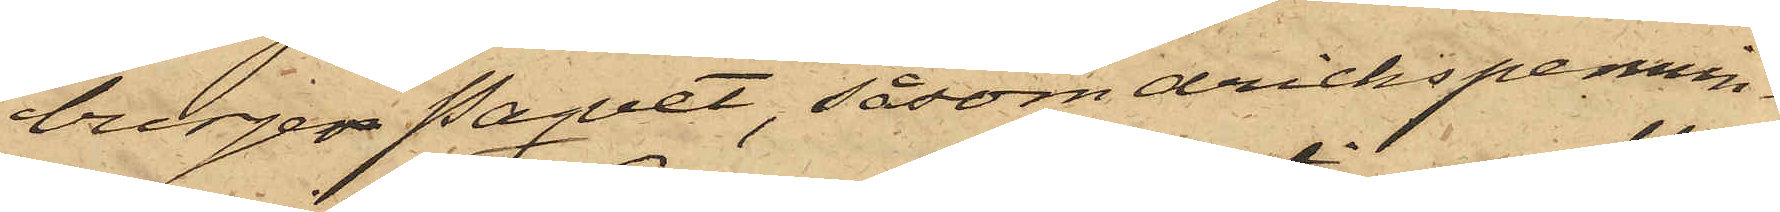burge Paquet, såsom drickspennin¬
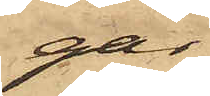gar
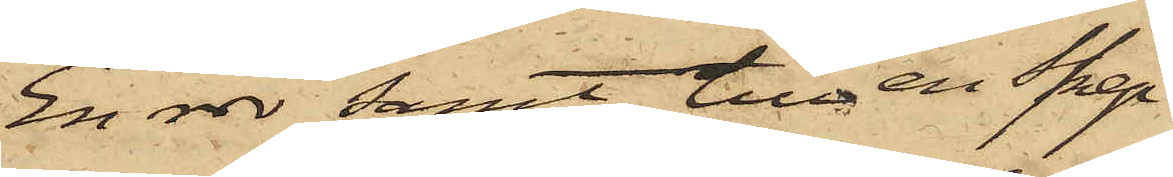En rdr samt till en Skep¬
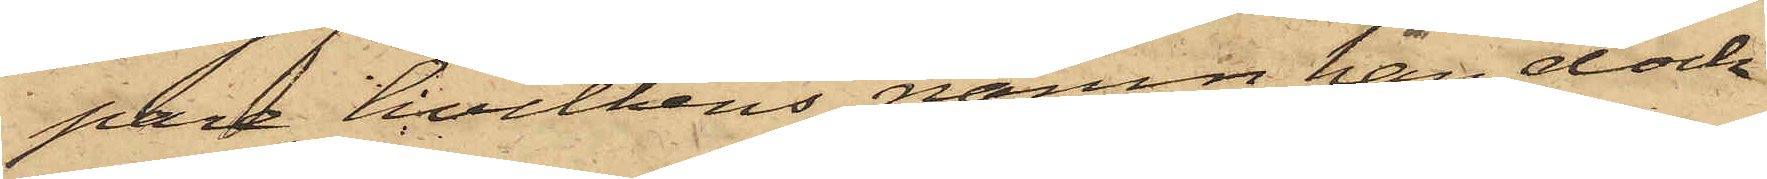pare, hvilkens namn han dock
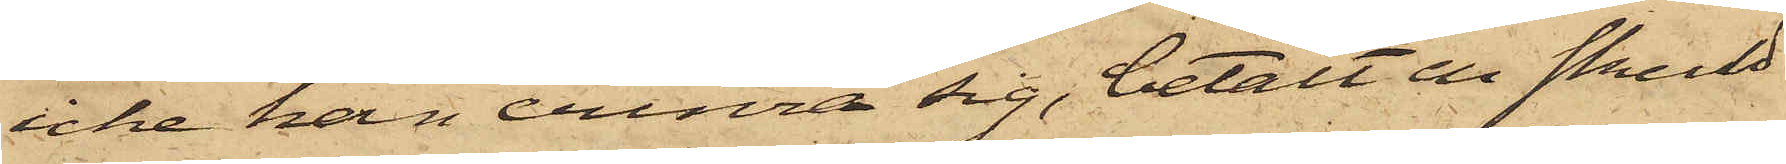icke han erinra sig, betalt en skuld¬
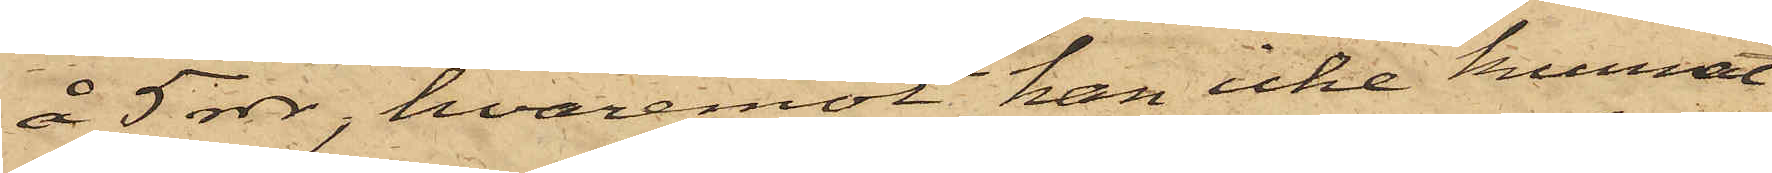å 5 rdr, hvaremot han icke kunnat
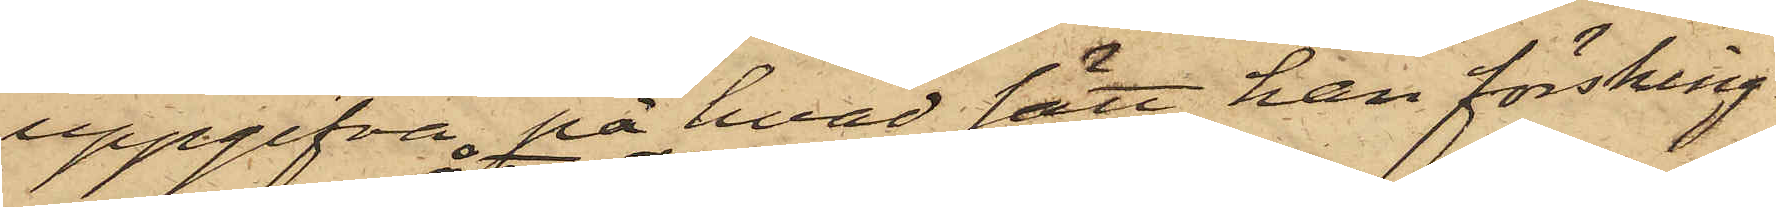uppgifva på hvad sätt han försking¬
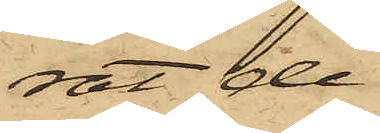rat de
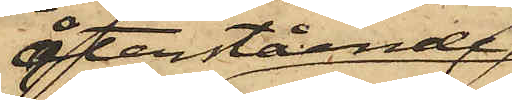återstående
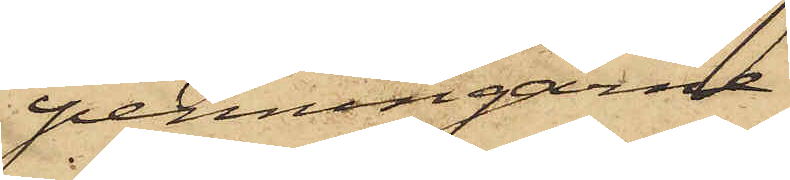penningarne
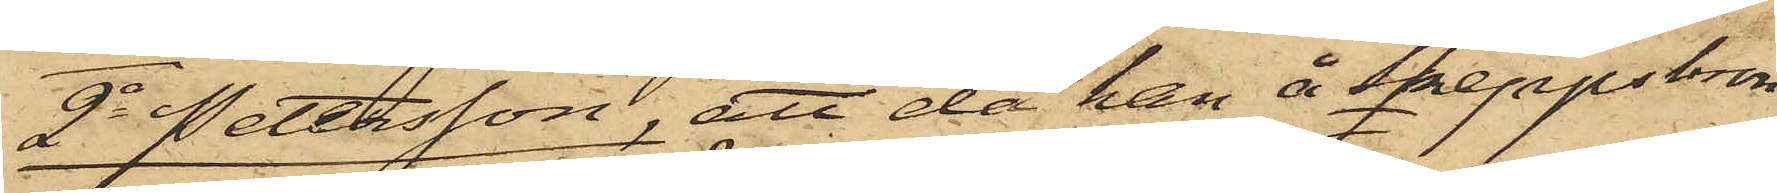2o Petersson, att då han å Skeppsbron
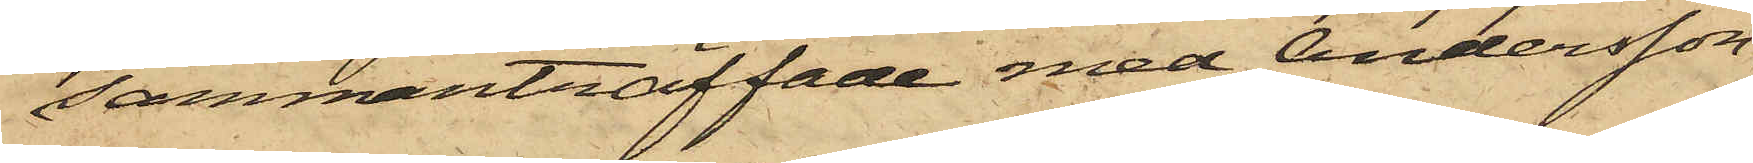sammanträffade med Andersson
